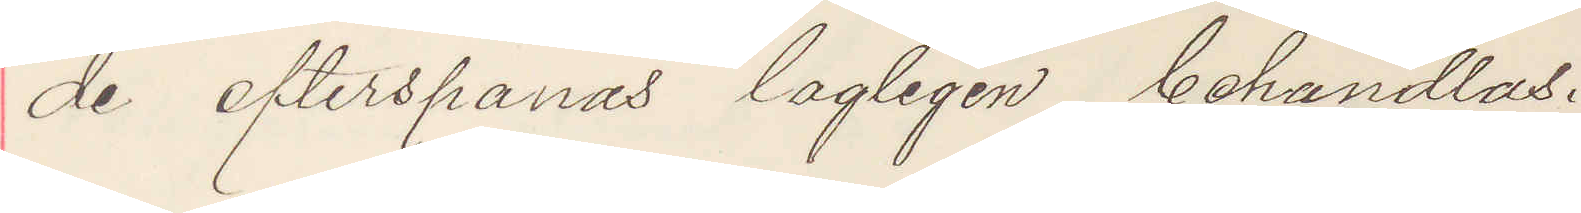de efterspanas lagligen behandlas.
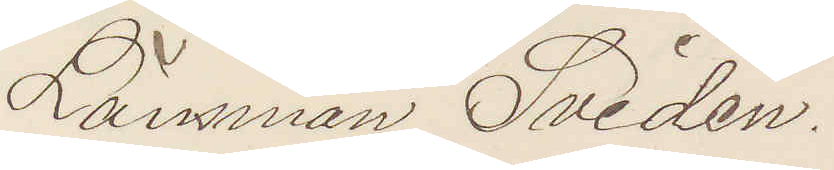Länsman Svidén.
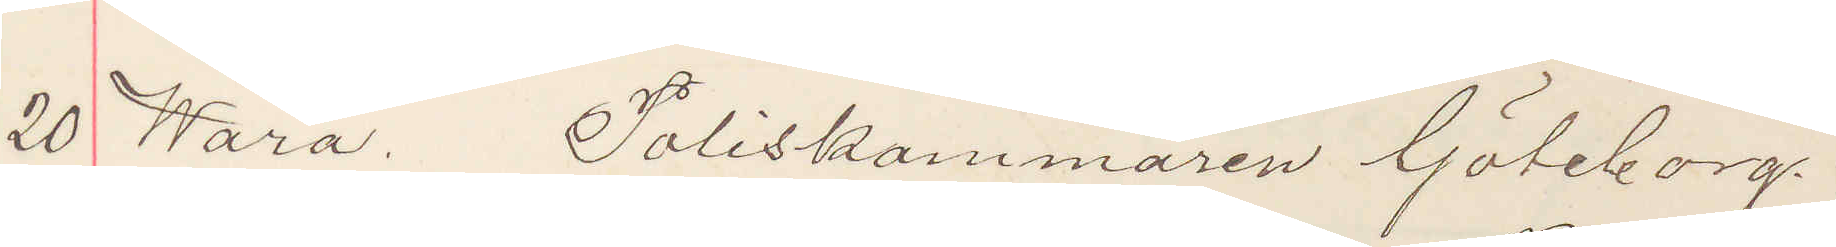20 Wara. Poliskammaren Göteborg.
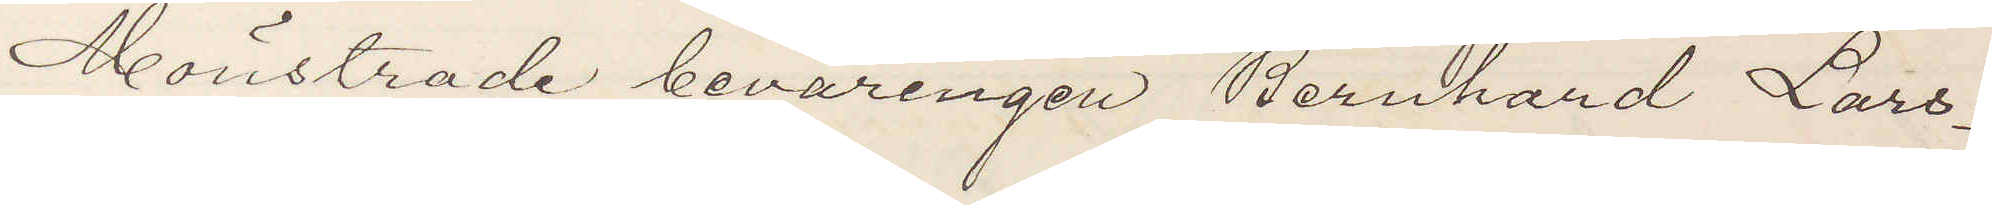Mönstrade beväringen Bernhard Lars¬
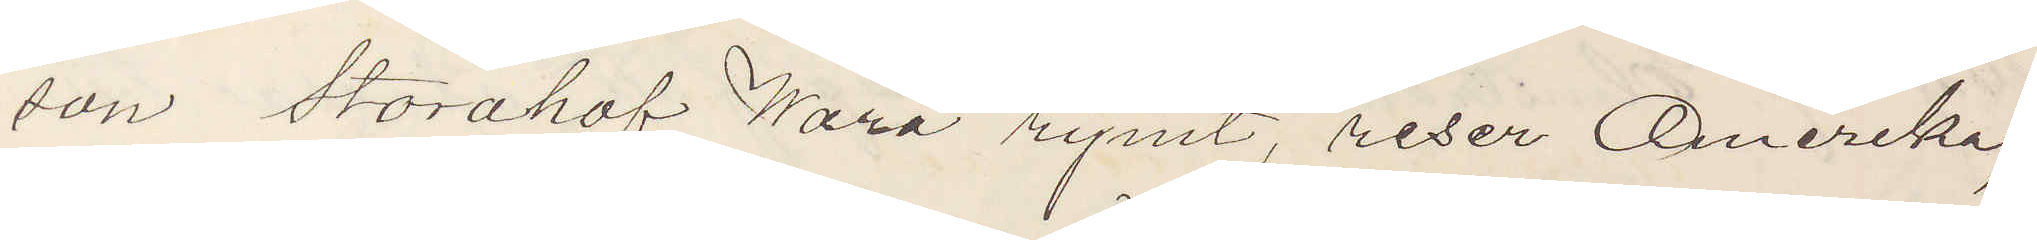son Storahof Wara rymt, reser Amerika,
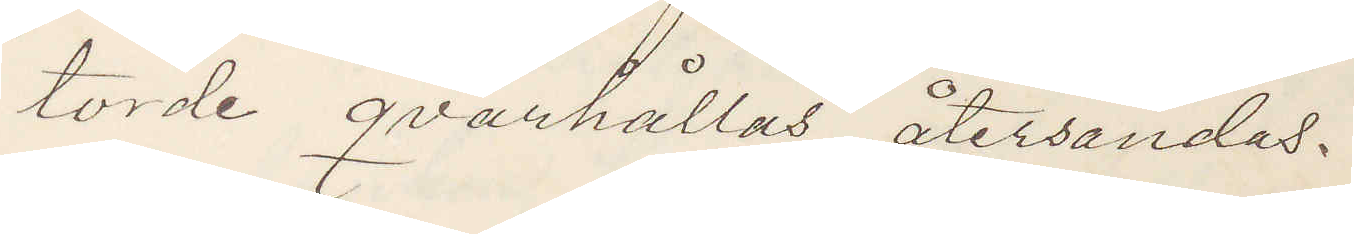torde qvarhållas återsändas.
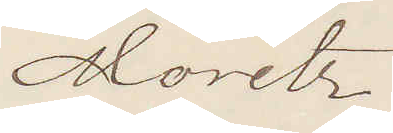Moritz
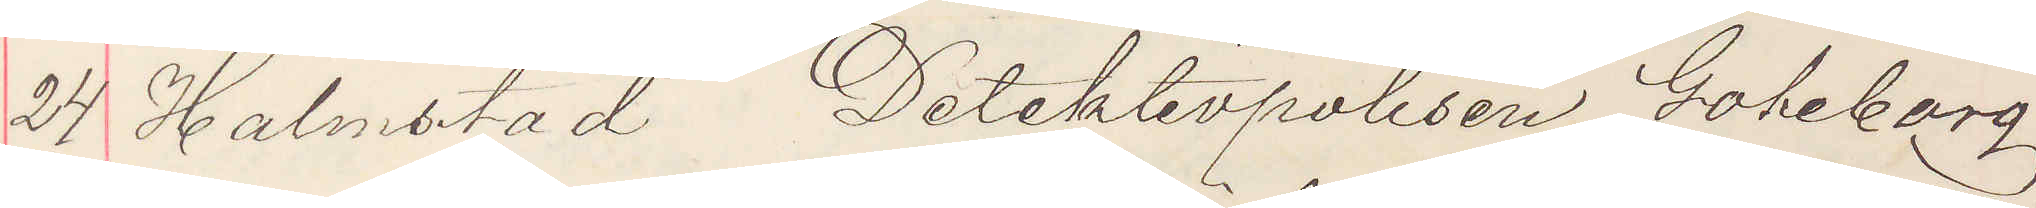24 Halmstad Detektivpolisen Göteborg.
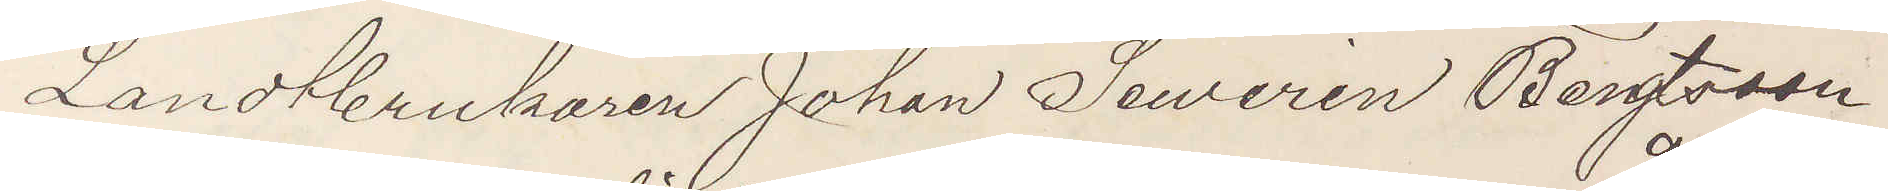Landtbrukaren Johan Sewerin Bengtsson
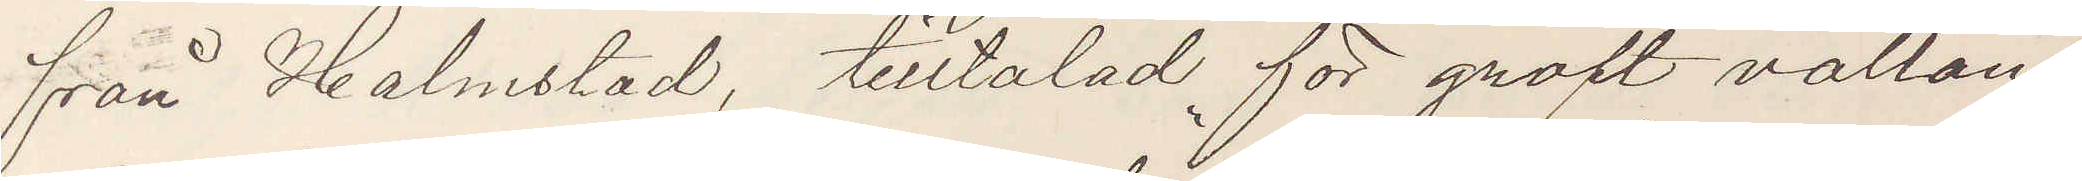från Halmstad, tilltalad för groft vållan¬
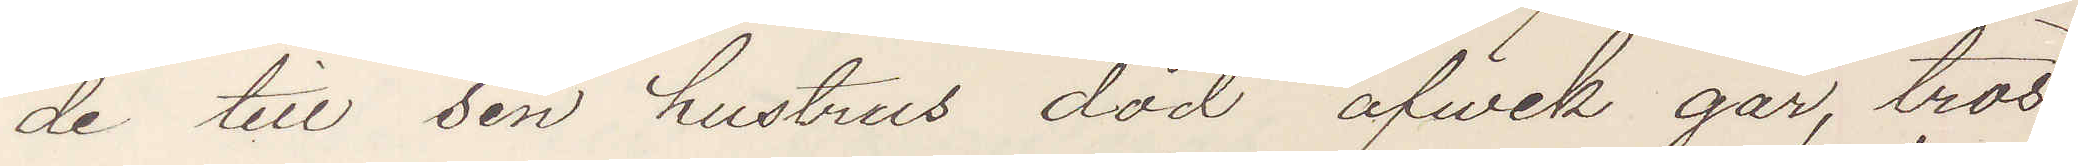de till sin hustrus död afvek går, tros
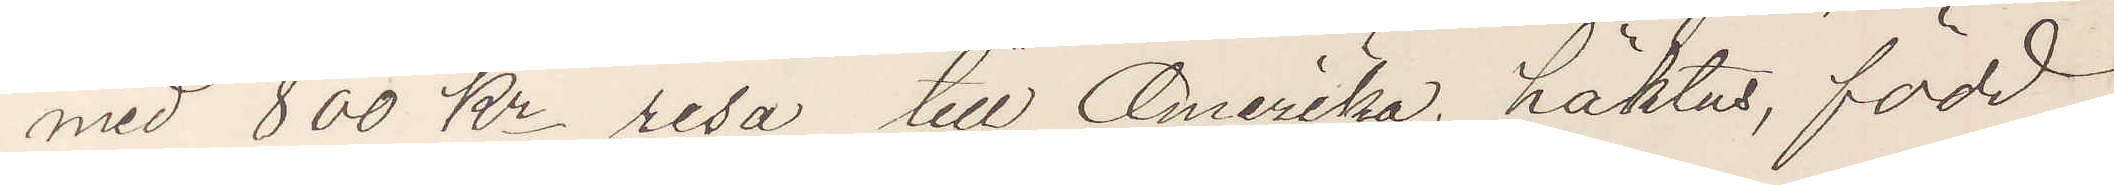med 800 Kr resa till Amerika, häktas, född
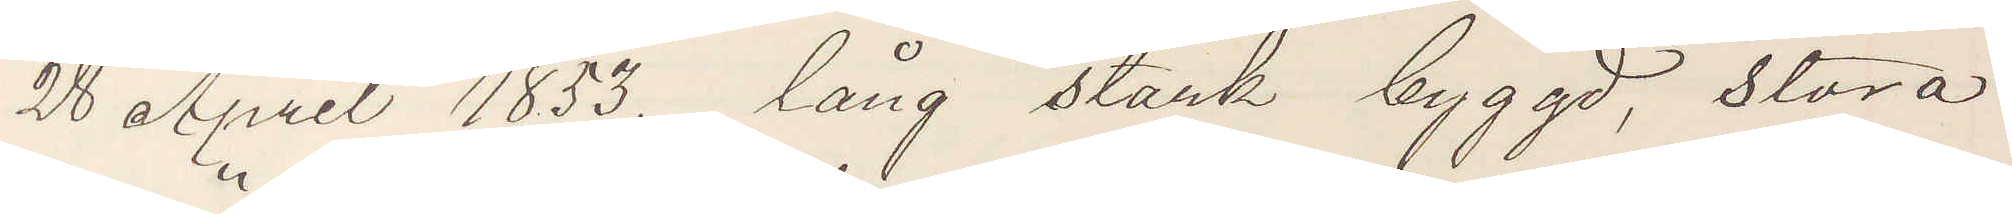28 April 1853, lång stark byggd, stora
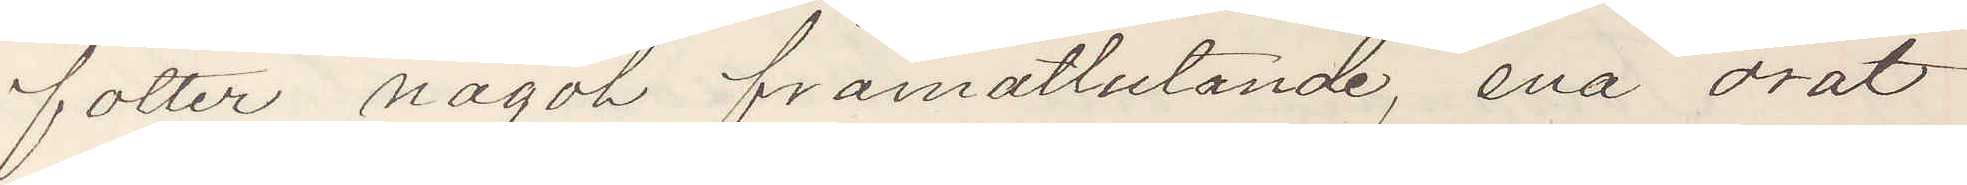fötter något framåtlutande, ena örat
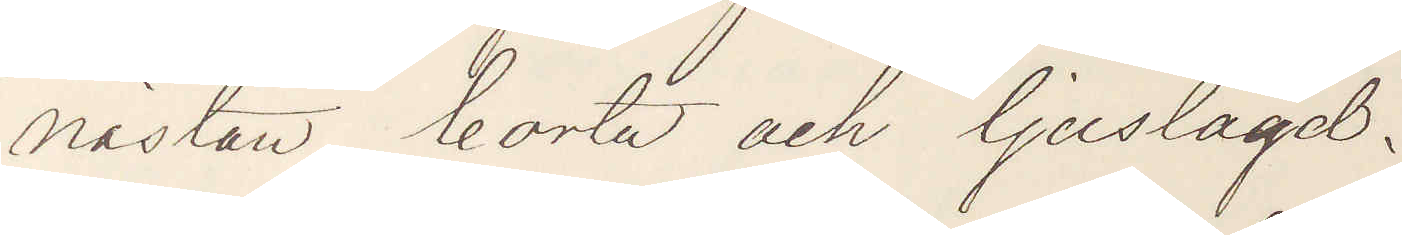nästan borta och ljuslagd.
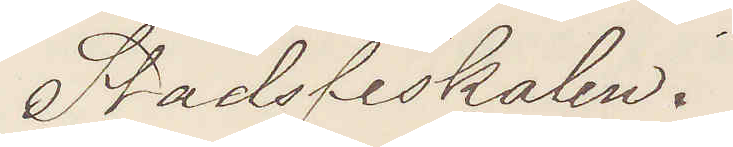Stadsfiskalen.
